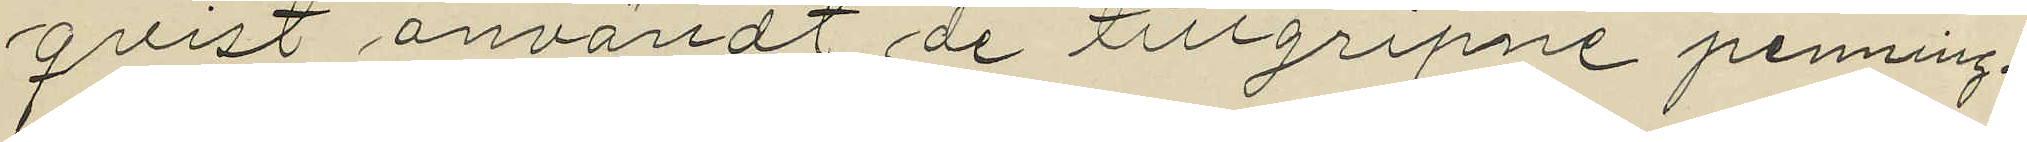qvist användt de tillgripne penning¬
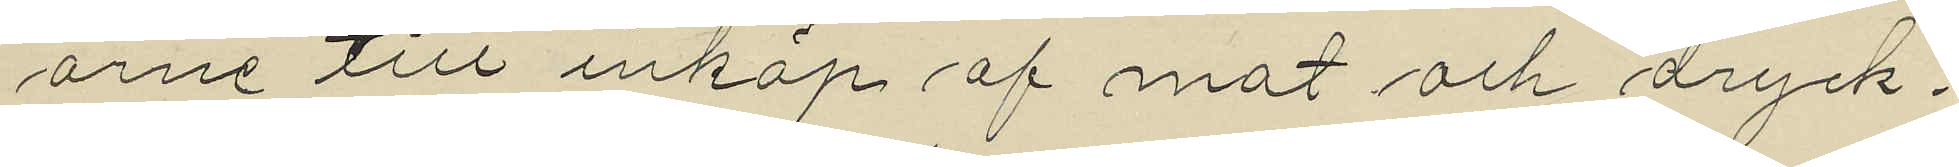arne till inköp af mat och dryck¬
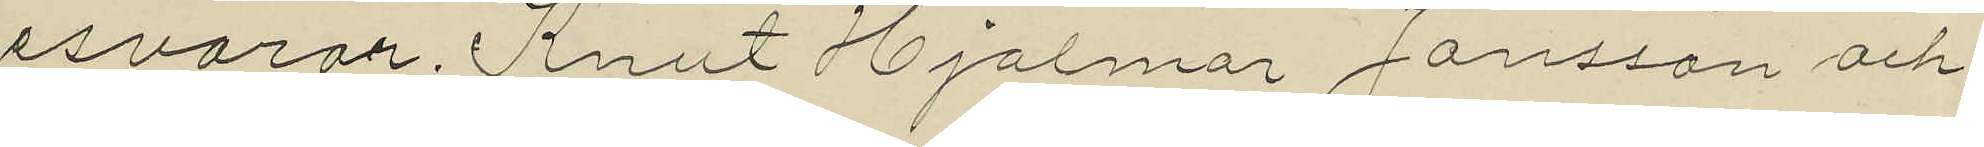esvaror, Knut Hjalmar Jansson och
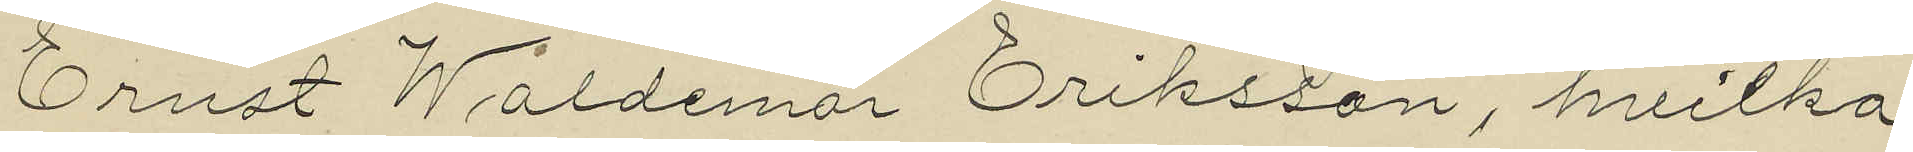Ernst Waldemar Eriksson, hvilka
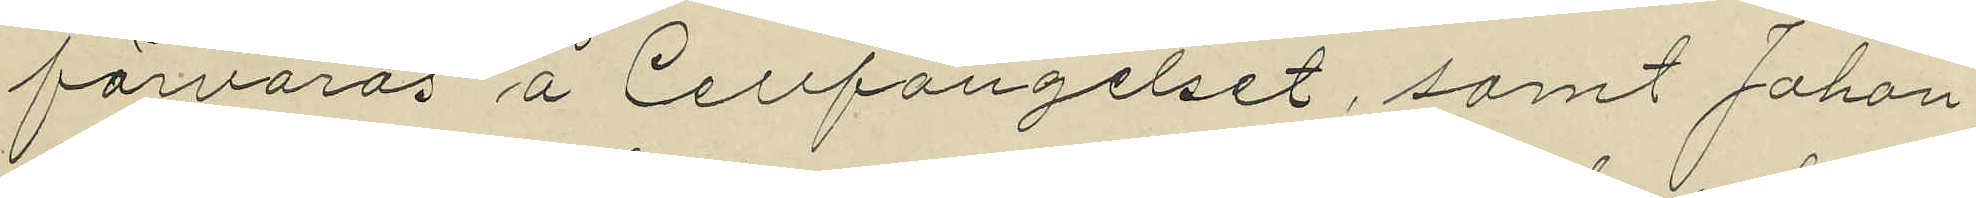förvaras å Cellfängelset, samt Johan
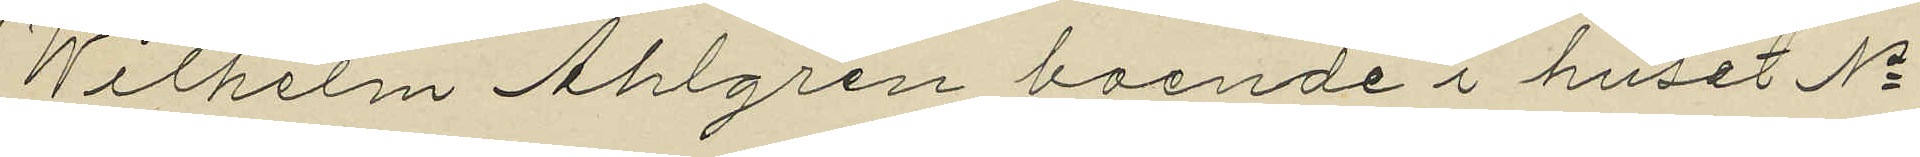Wilhelm Ahlgren boende i huset No
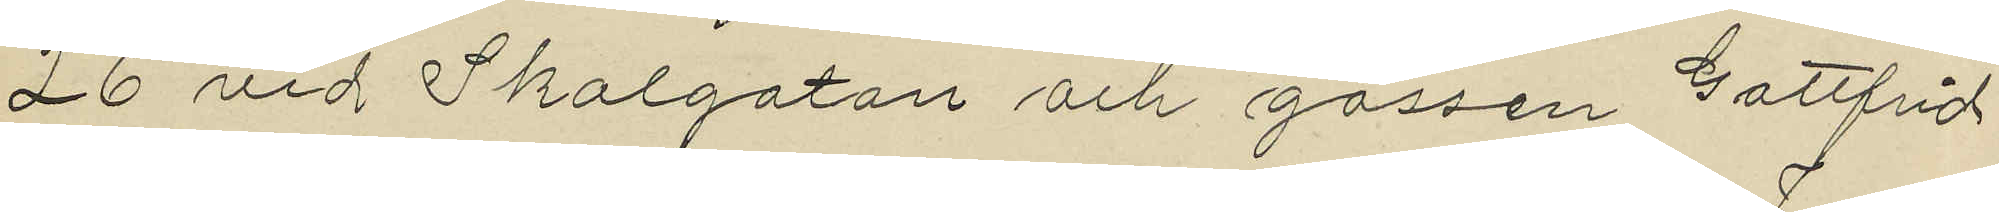26 vid Skolgatan och gossen Gottfrid
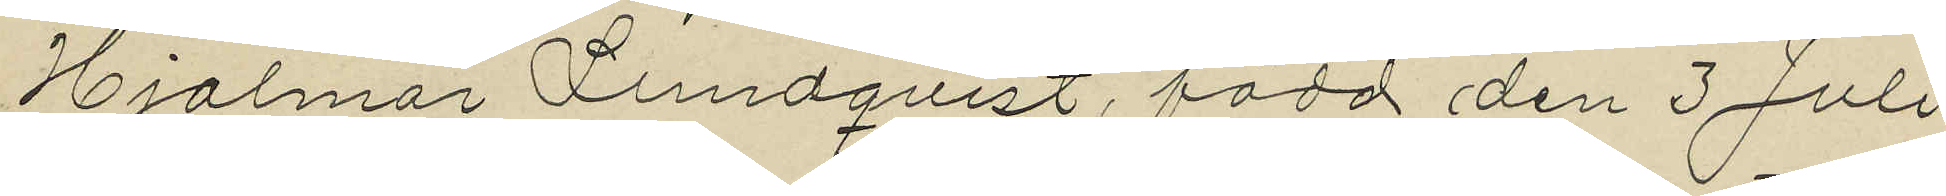Hjalmar Lundqvist, född den 3 Juli
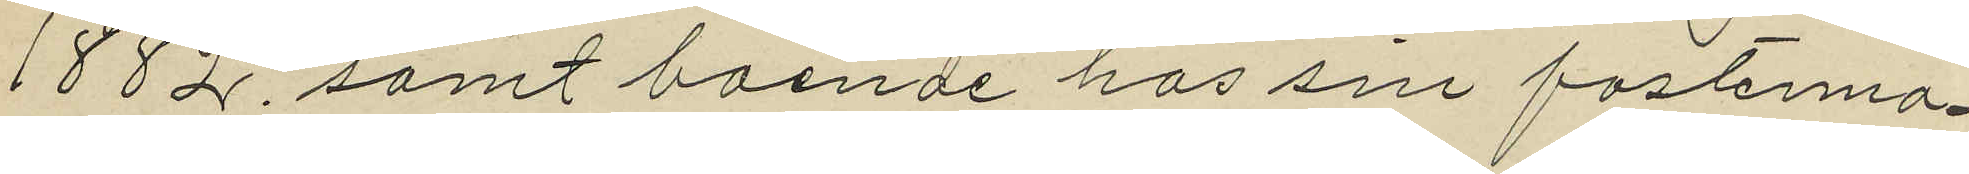1882, samt boende hos sin fostermo¬
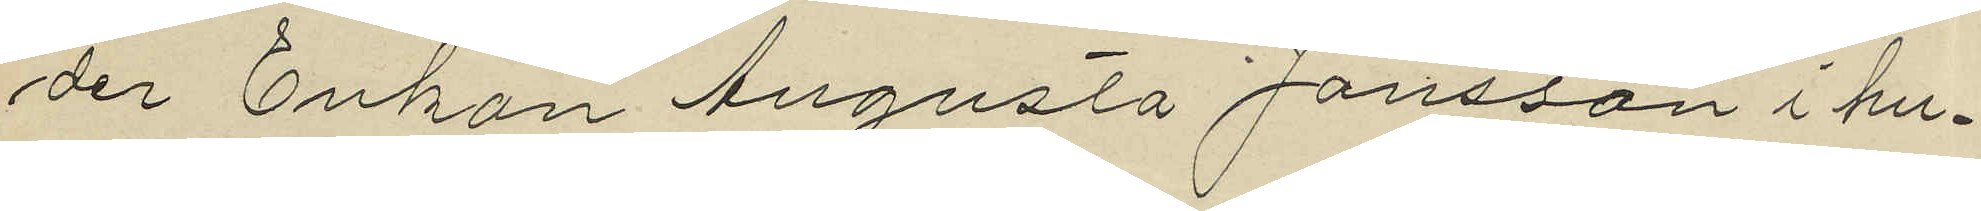der Enkan Augusta Jansson i hu¬
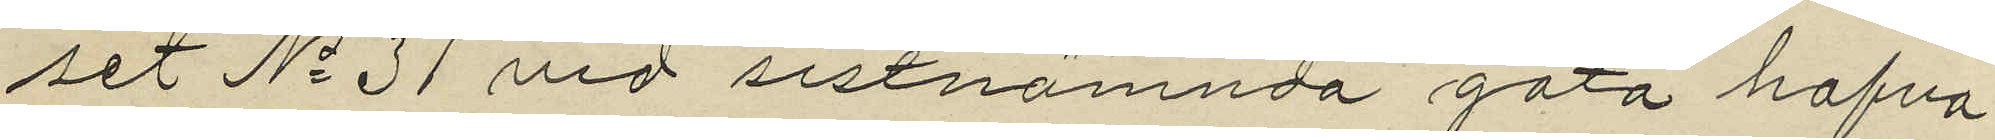set No 31 vid sistnämnda gata hafva
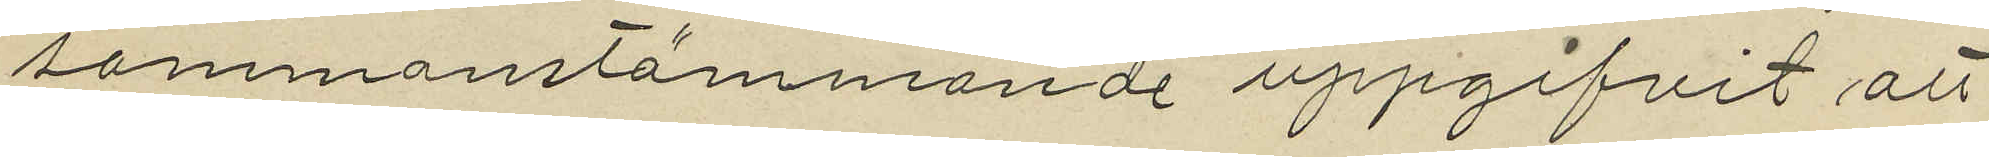sammanstämmande uppgifvit att
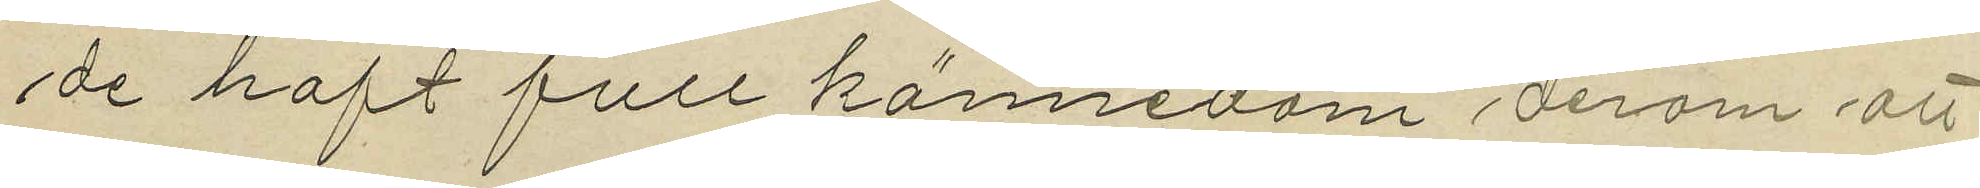de haft full kännedom derom att
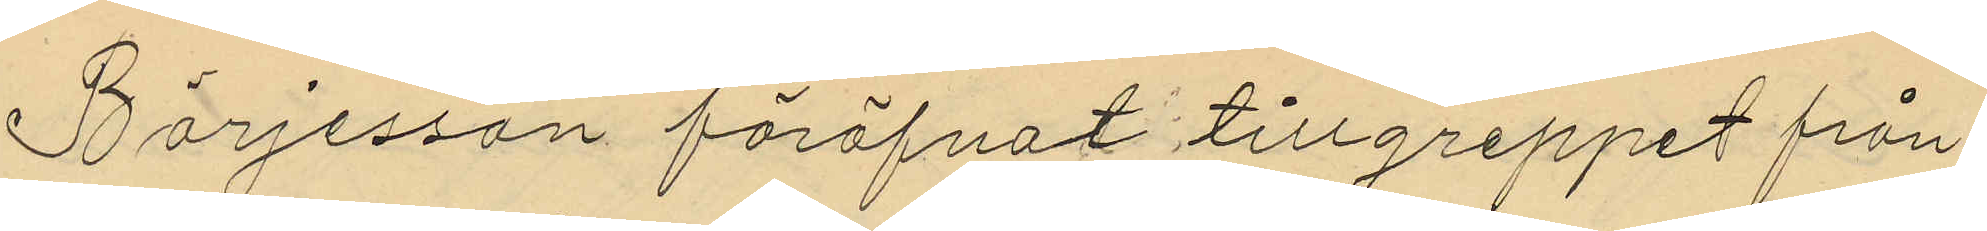Börjesson föröfvat tillgreppet från
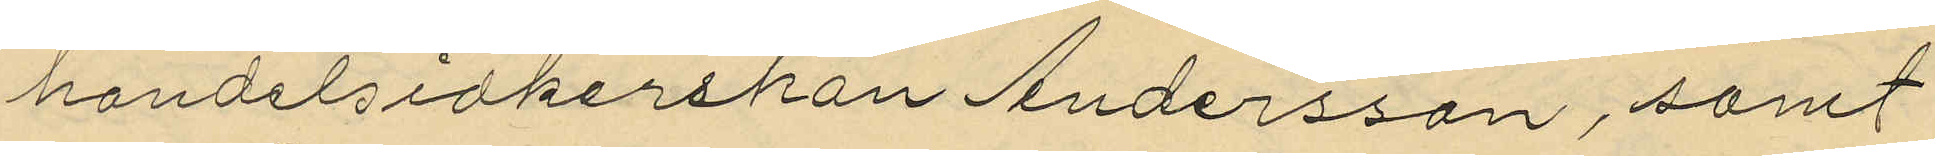handelsidkerskan Andersson, samt
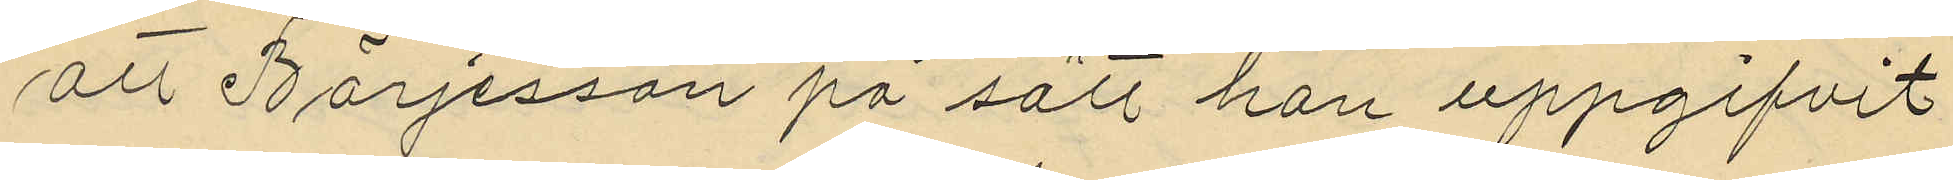att Börjesson på sätt han uppgifvit
